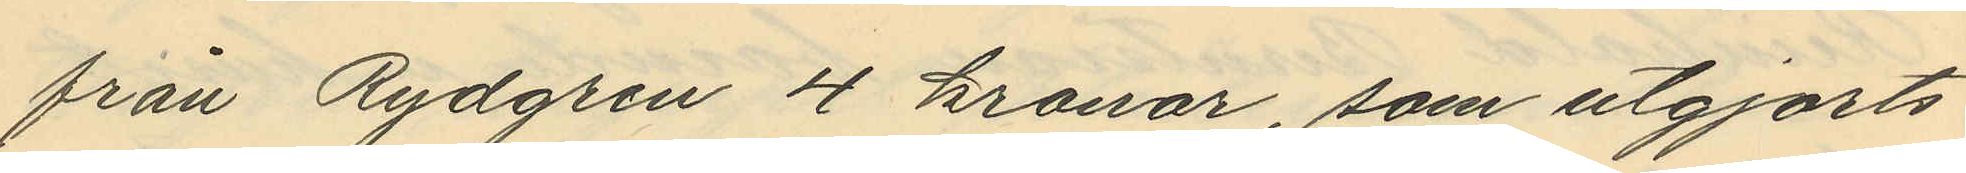från Rydgren 4 kronor, som utgjorts
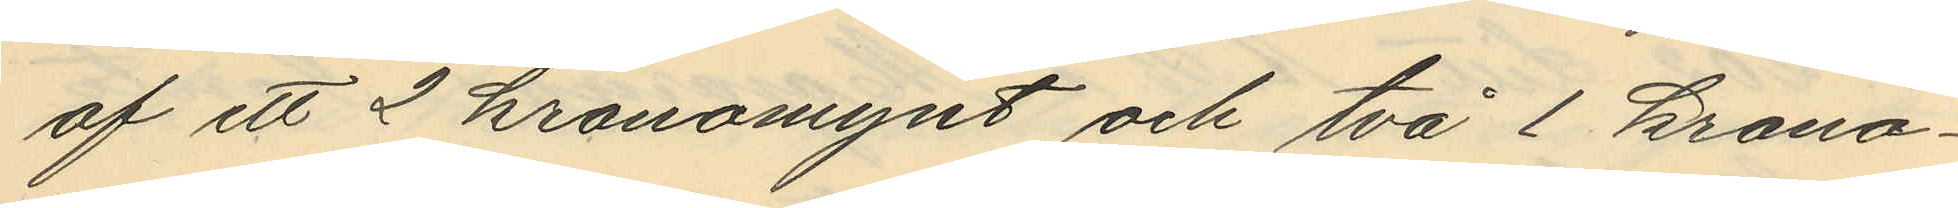af ett 2 kronomynt och två 1 krona¬
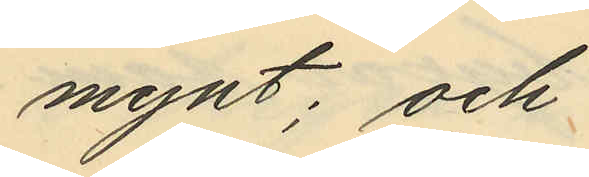mynt; och
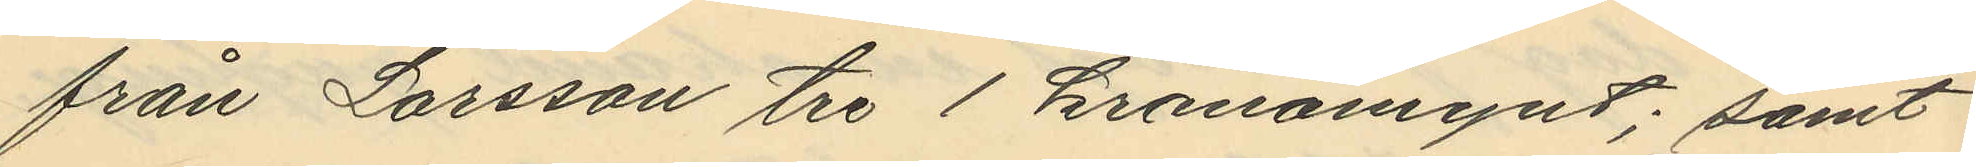från Larsson tre 1 kronomynt; samt
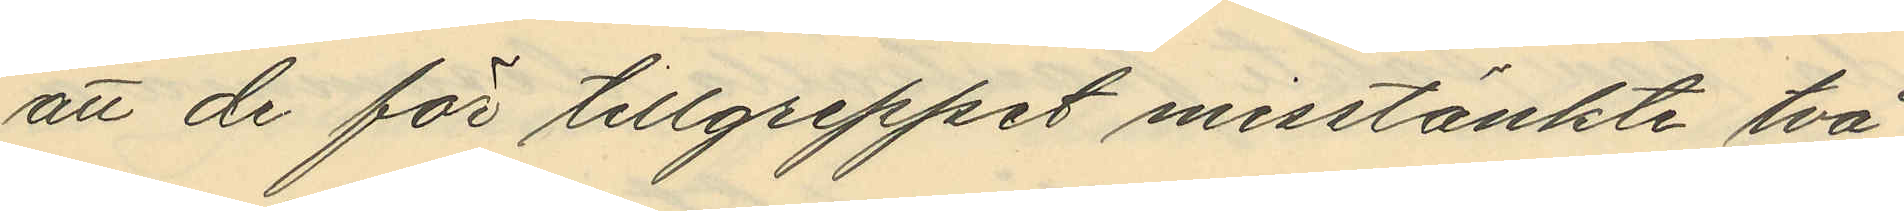att de för tillgreppet misstänkte två
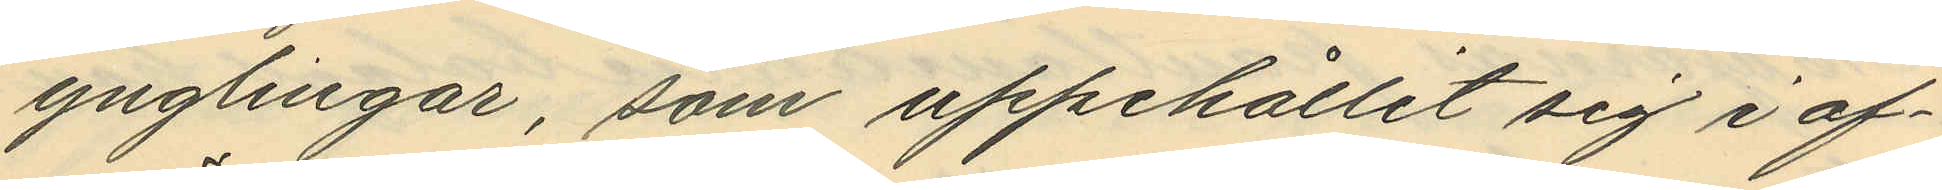ynglingar, som uppehållit sig i af¬
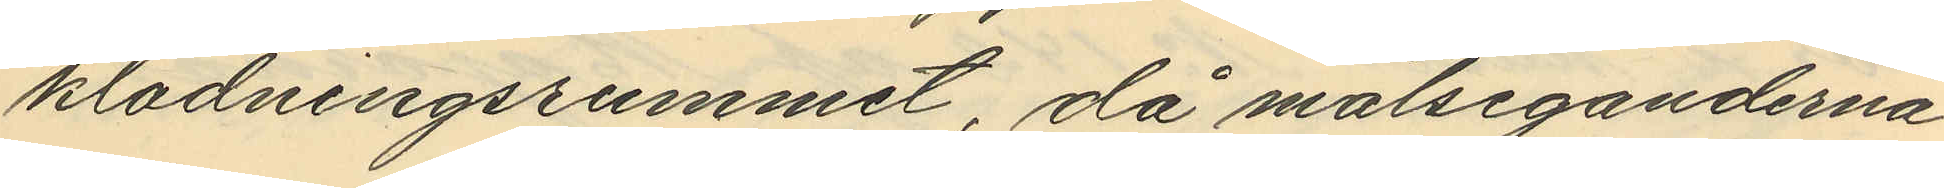klädningsrummet, då målseganderna
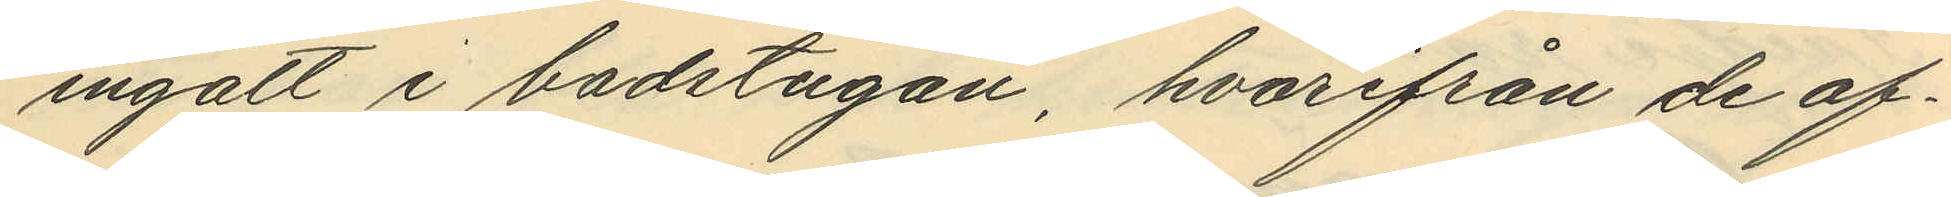ingått i badstugan, hvarifrån de of¬
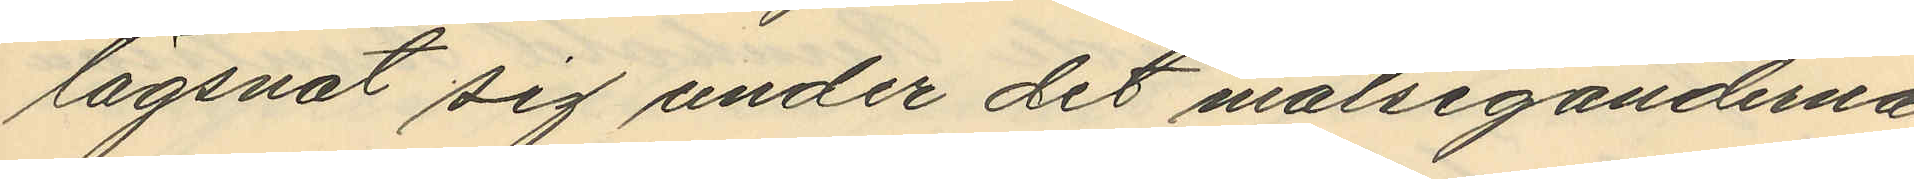lägsnat sig under det målseganderna
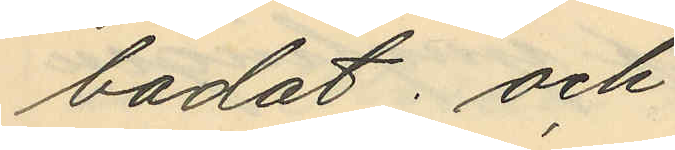badat; och
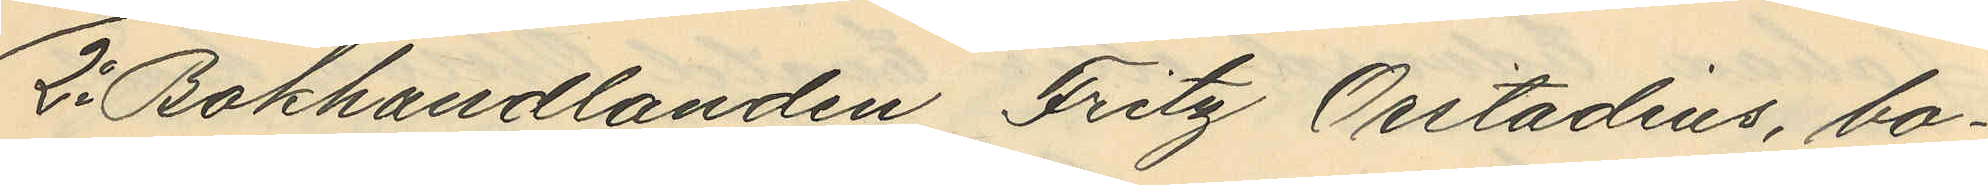2o Bokhandlanden Fritz Osstadius, bo¬
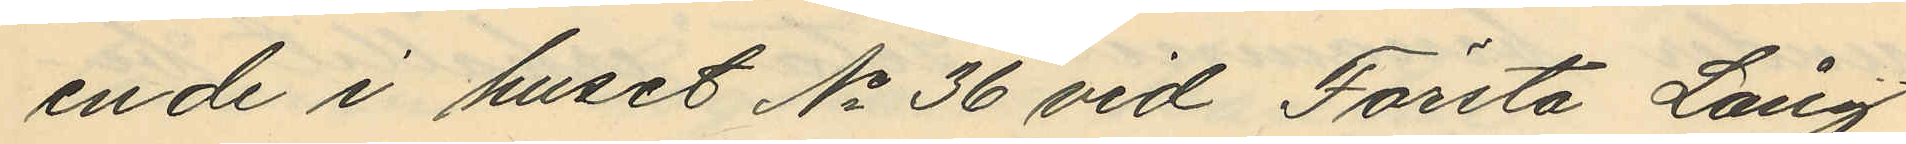ende i huset No 36 vid Första Lång¬
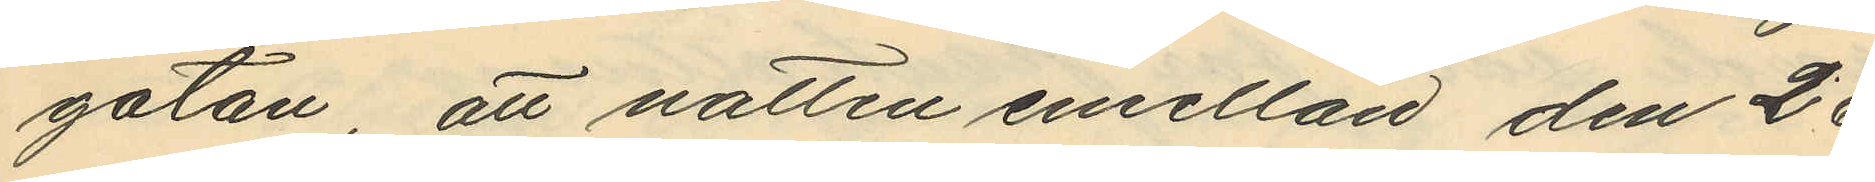gatan, att natten emellan den 26
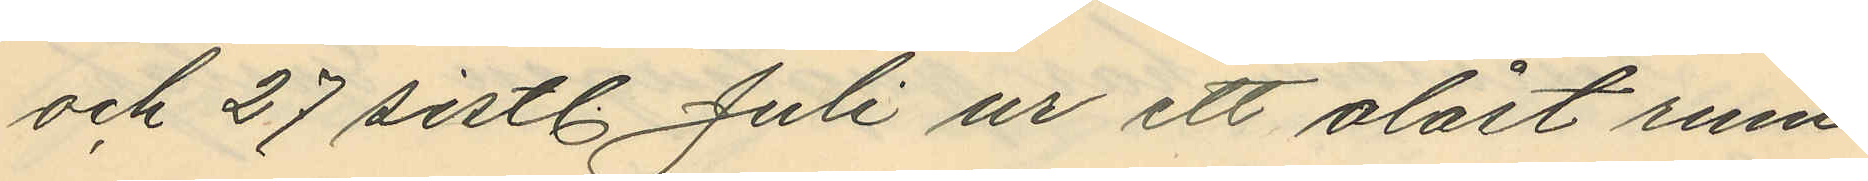och 27 sistl. Juli ur ett olåst rum
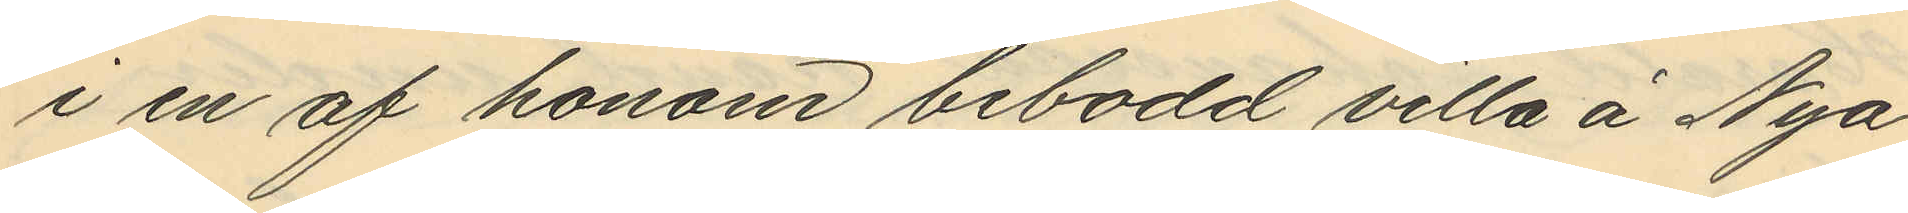i en af honom bebodd villa å Nya
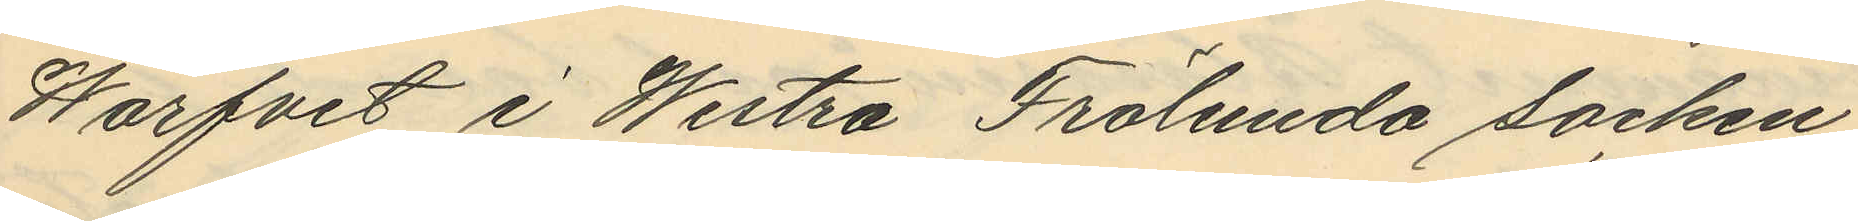Warfvet i Westra Frölunda socken
